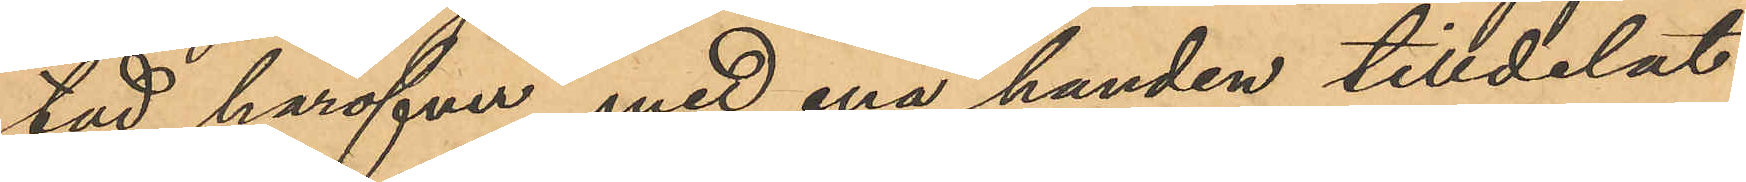tad häröfver, med ena handen tilldelat
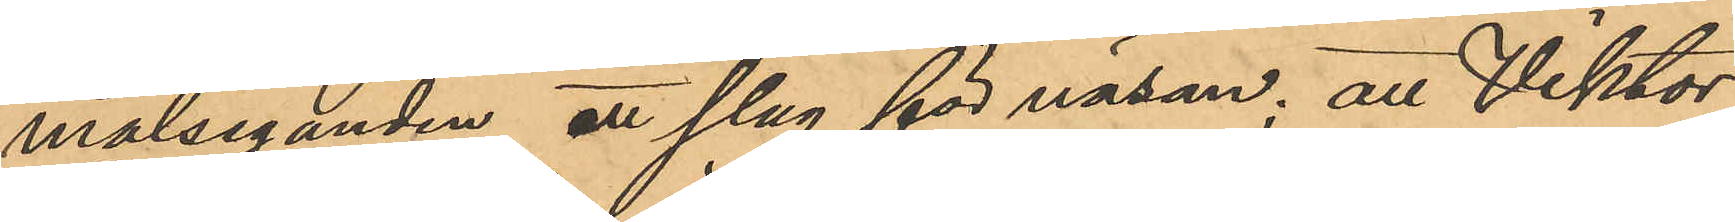målseganden ett slag för näsan; att Viktor
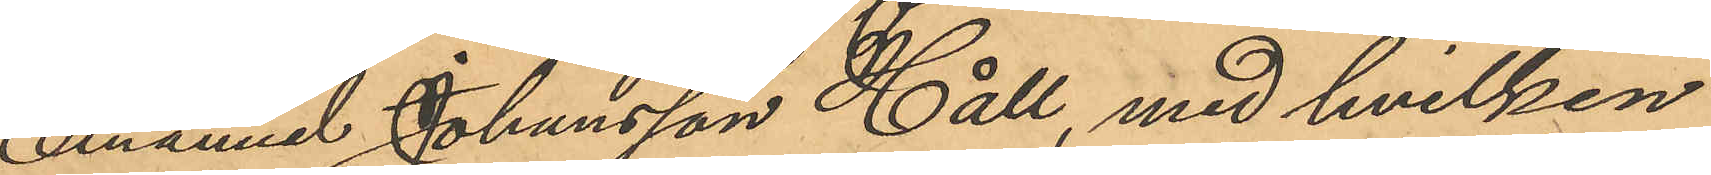Emanuel Johansson Håll, med hvilken
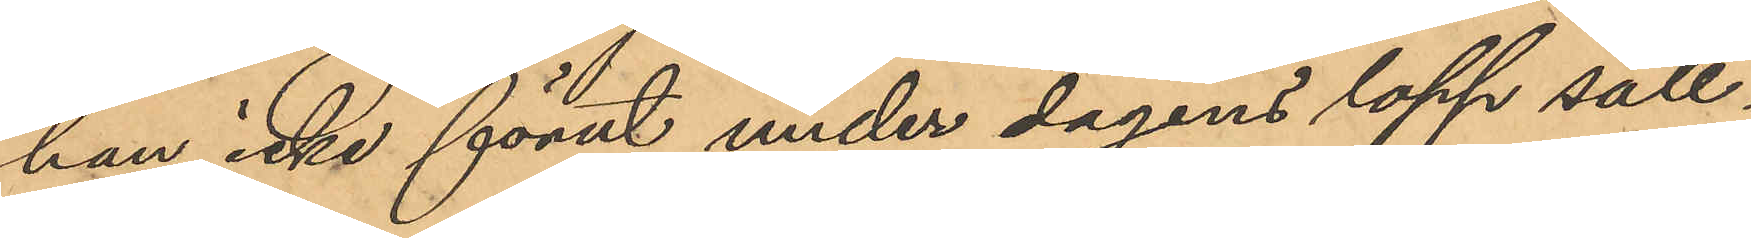han icke förut under dagens lopp säll¬
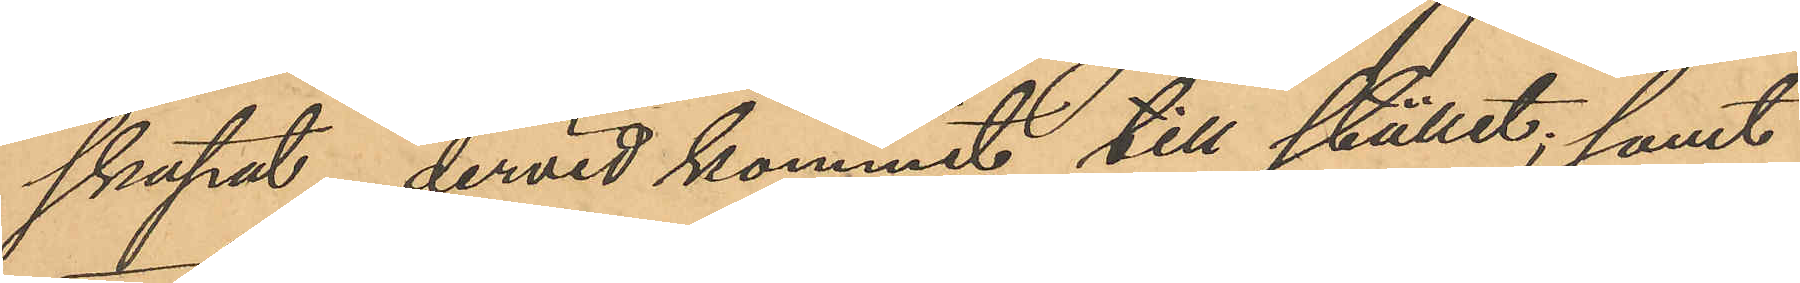skapat, dervid kommit till stället; samt
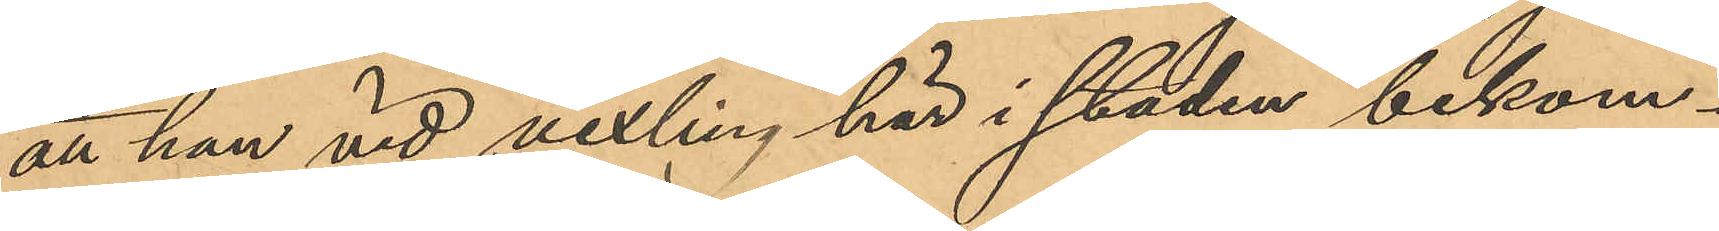att han vid vexling här i staden bekom¬
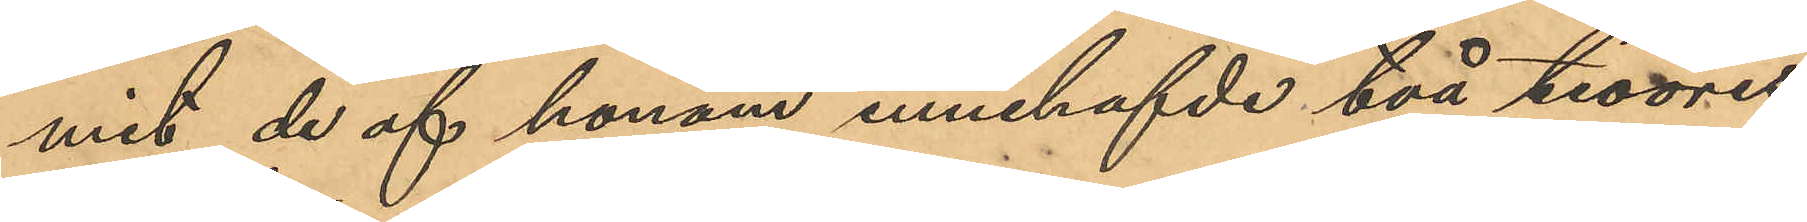mit de af honom innehafde två tioöres¬
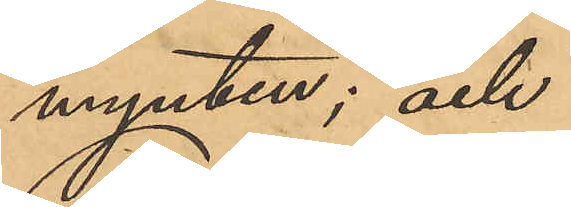mynten; och
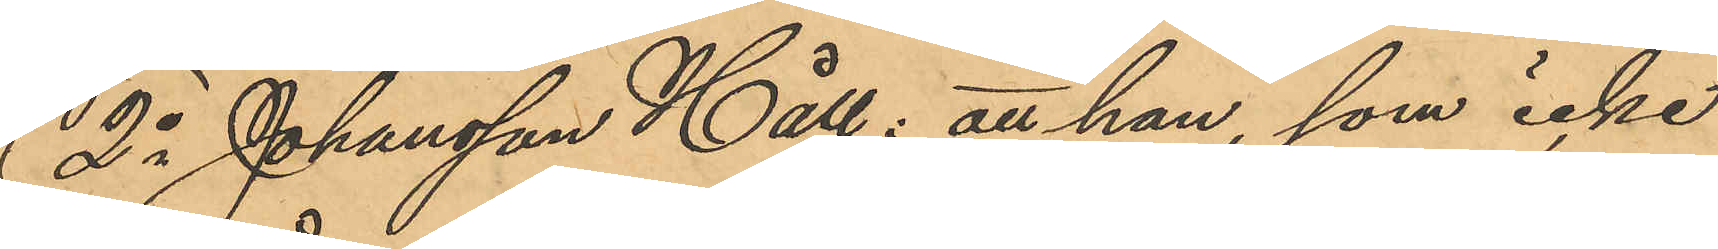2o Johansson Håll: att han, som icke
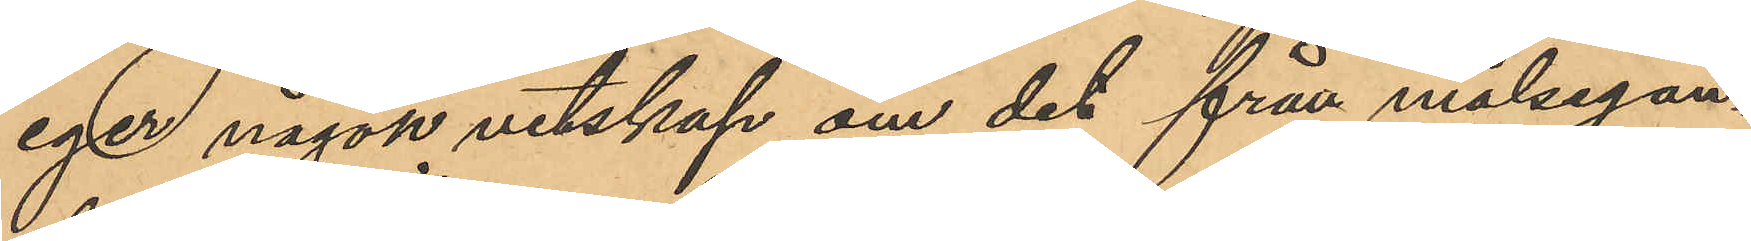eger någon vetskap om det från målsegan¬
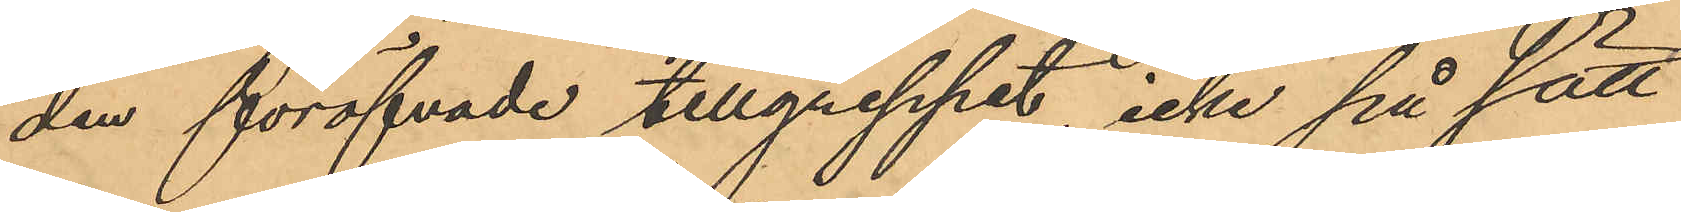den föröfvade tillgreppet, icke på sätt
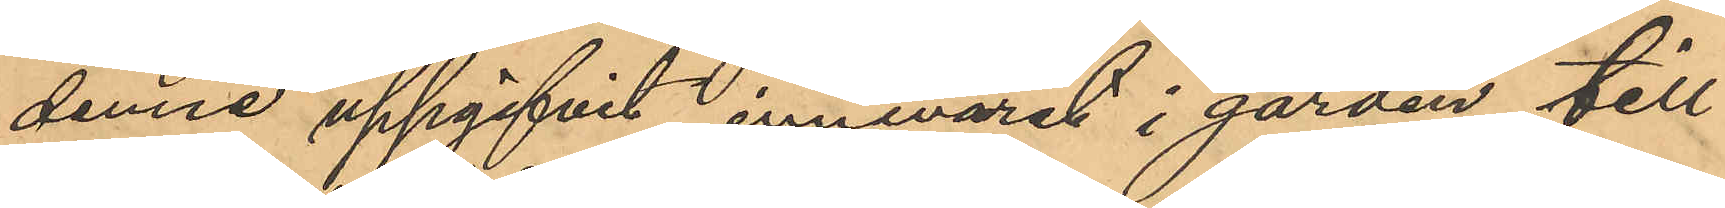denne uppgifvit innevarit i gården till
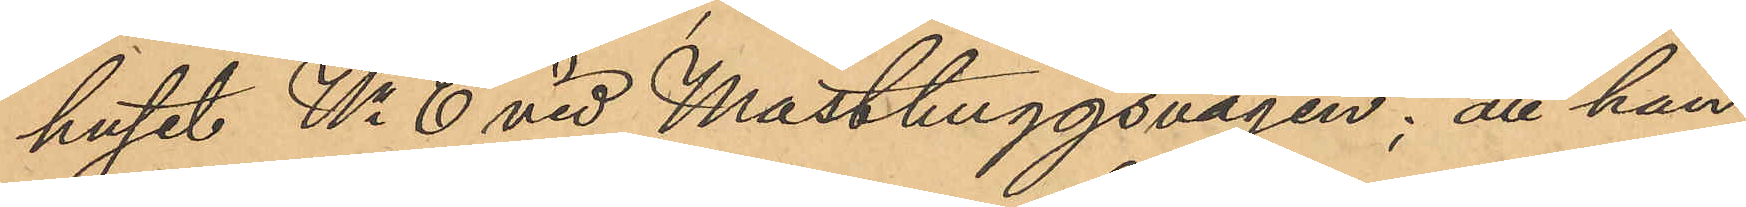huset No 6 vid Masthuggsvägen; att han
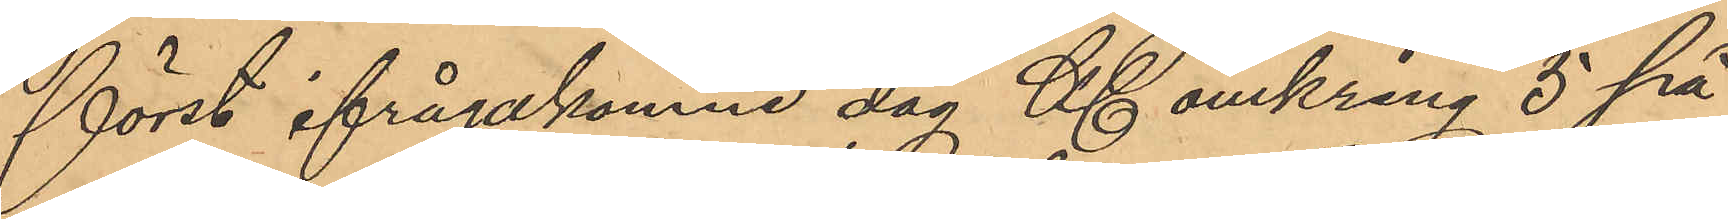först ifrågakomne dag Kl. omkring 5 på
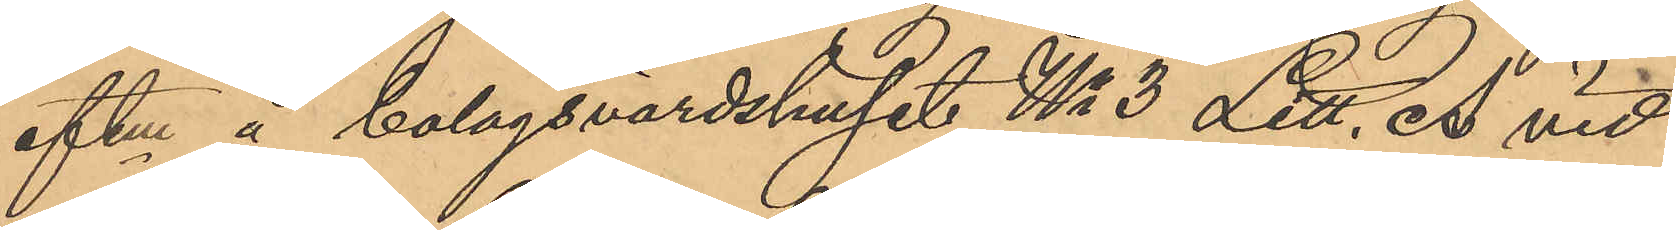eftm å bolagsvärdshuset No 3 Litt. A vid
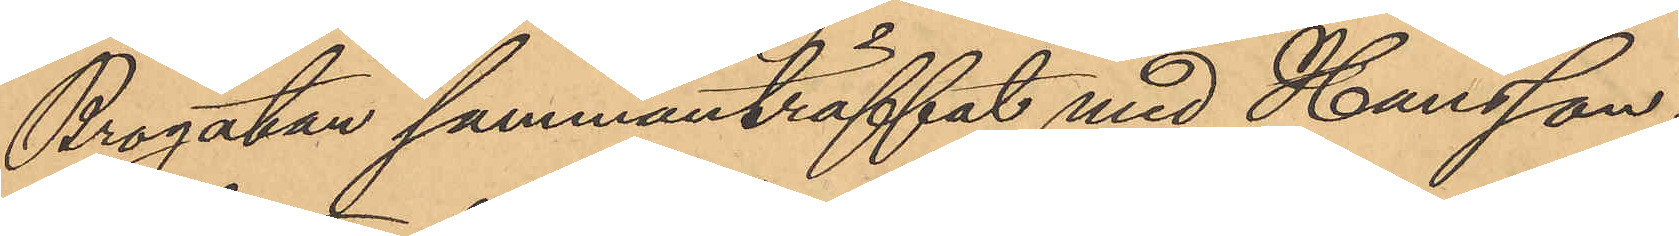Brogatan sammanträffat med Hansson,
